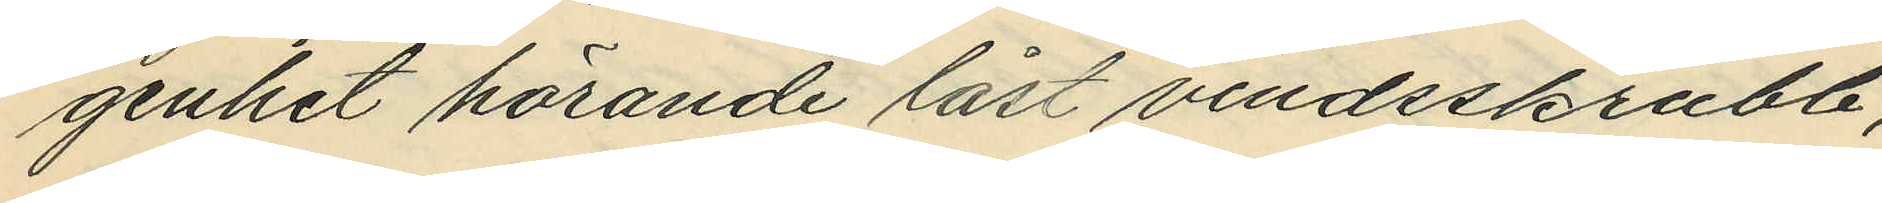genhet hörande låst vindsskrubb,
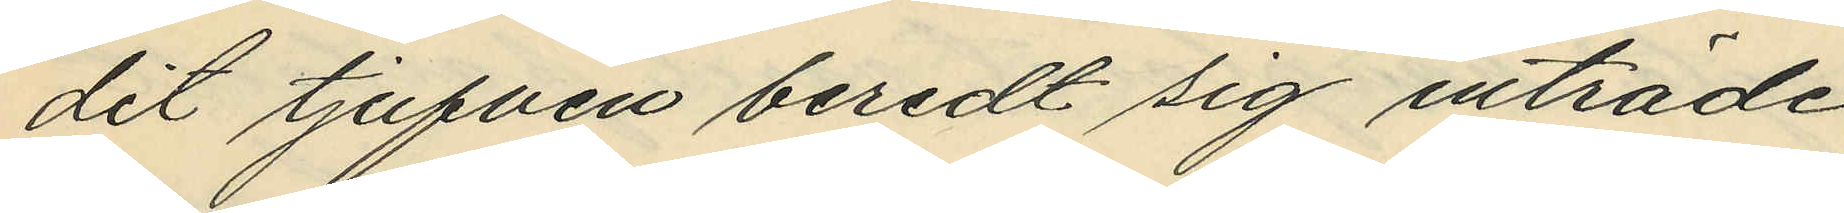dit tjufven beredt sig tillträde
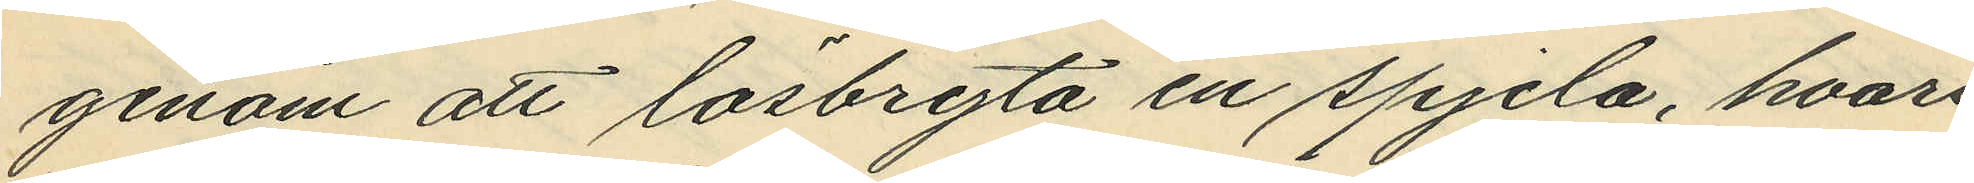genom att lösbryta en spjela, hvari
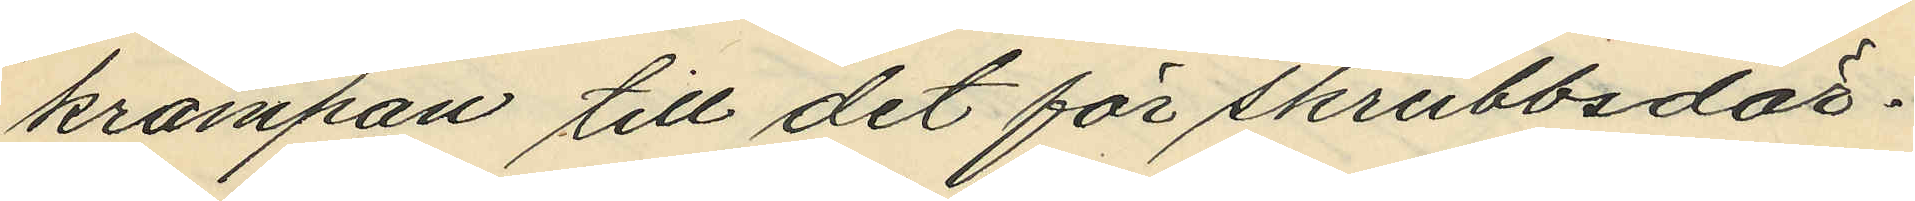krampan till det för skrubbsdör¬
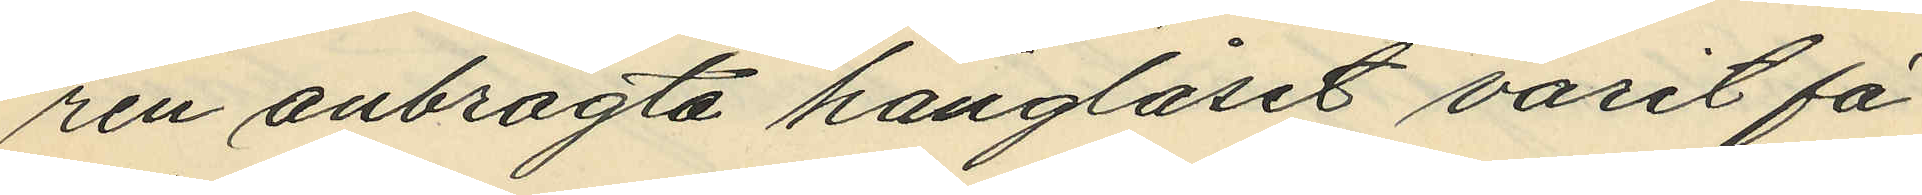ren anbragta hänglåset varit fä¬
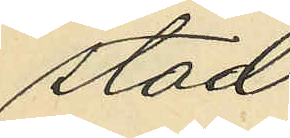stad.
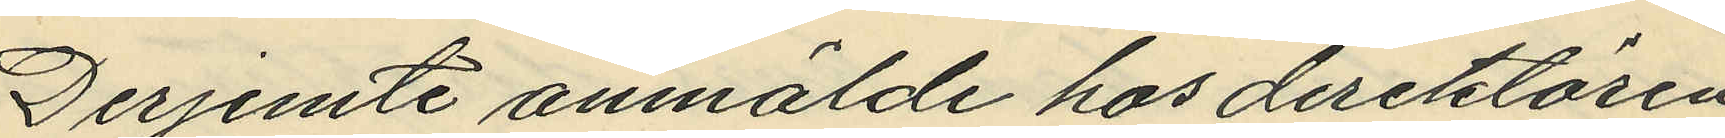Derjemte anmälde hos direktören
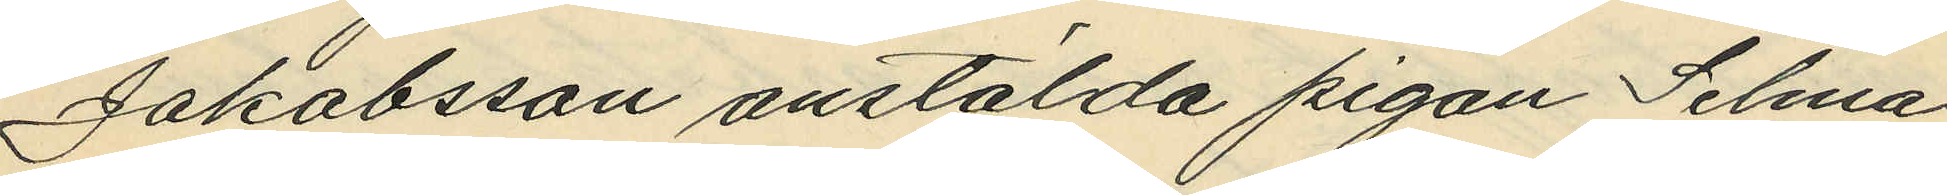Jakobsson anstälda pigan Selma
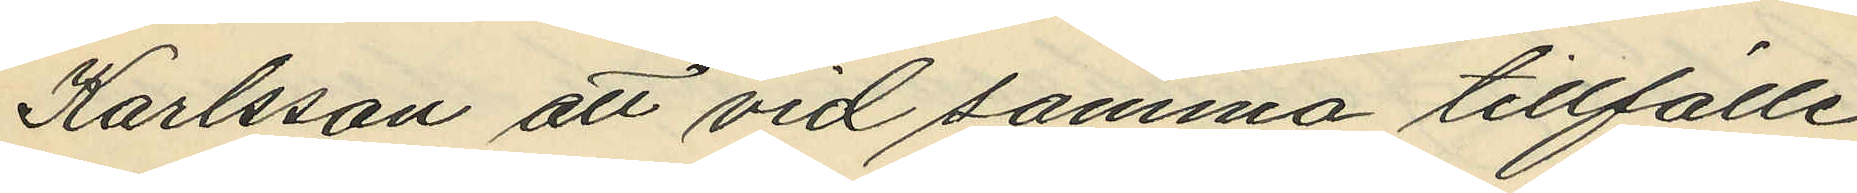Karlsson att vid samma tillfälle
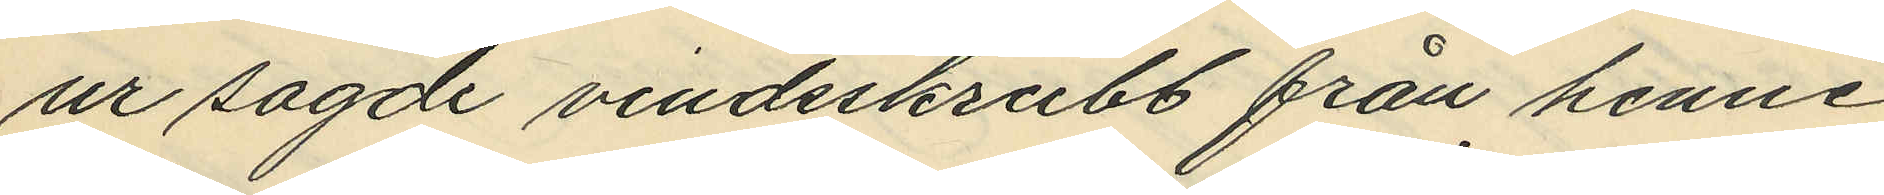ur sagde vindsskrubb från henne
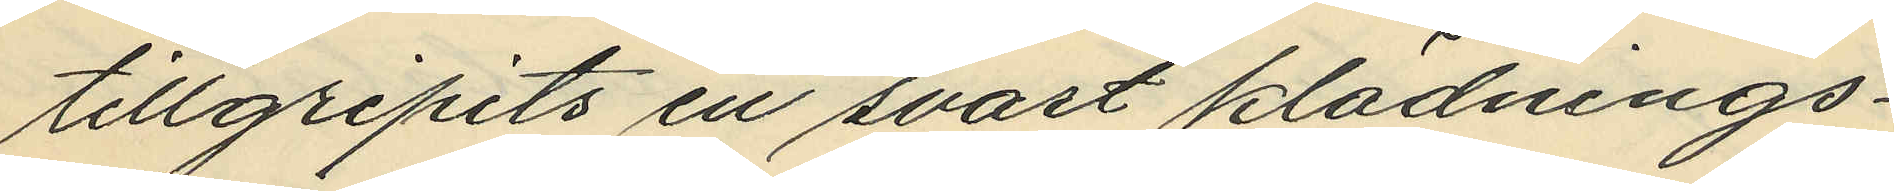tillgripits en svart klädnings¬
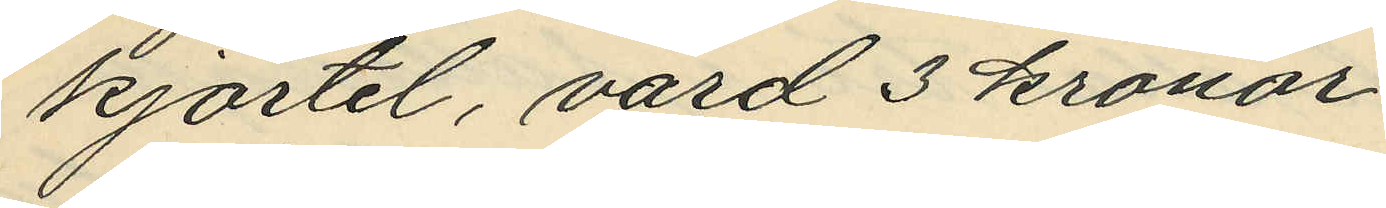kjortel, värd 3 kronor.
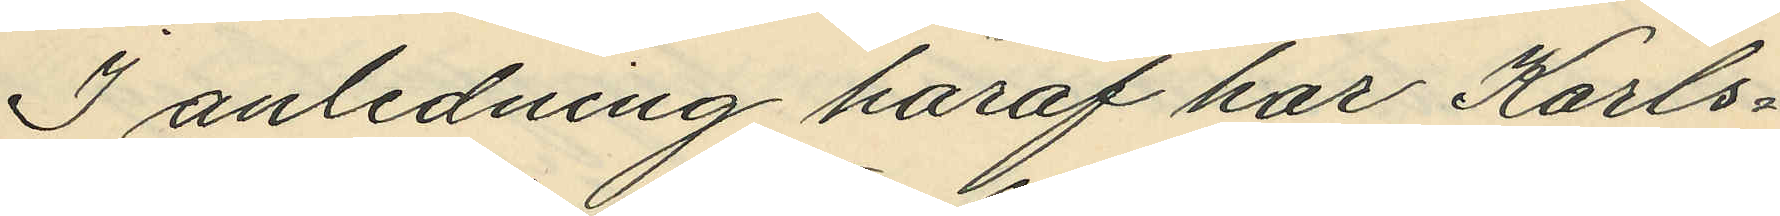I anledning häraf har Karls¬
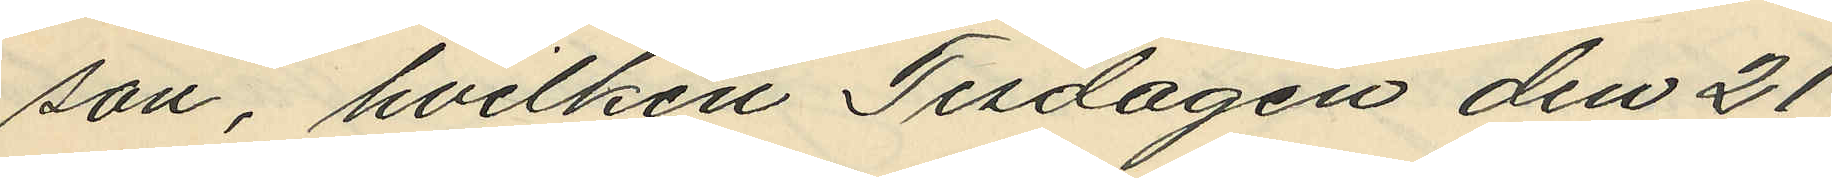son, hvilken Tisdagen den 21
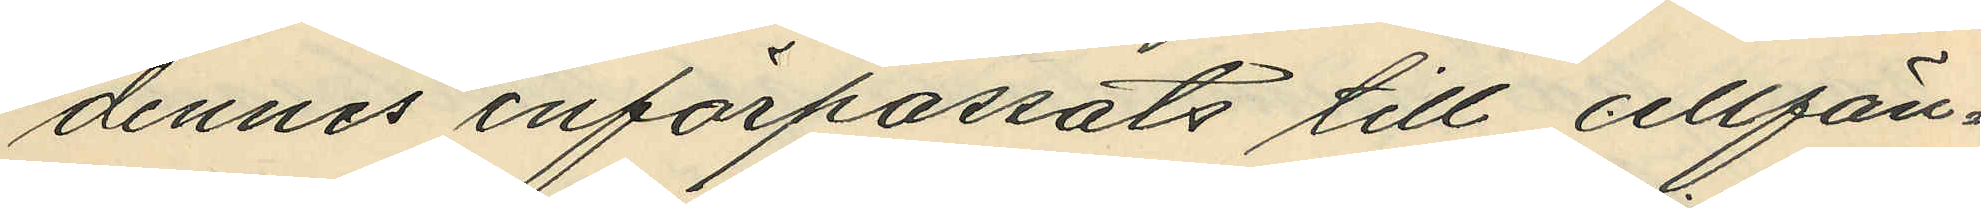dennes införpassats till cellfän¬
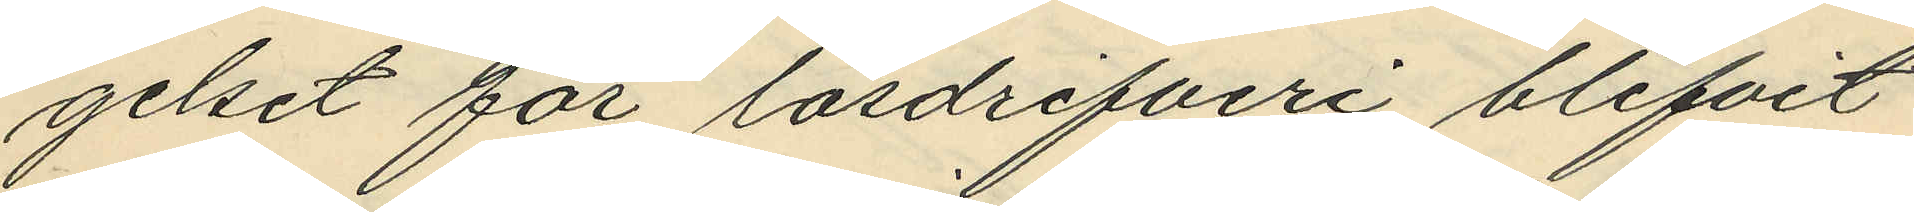gelset för lösdrifveri blifvit
